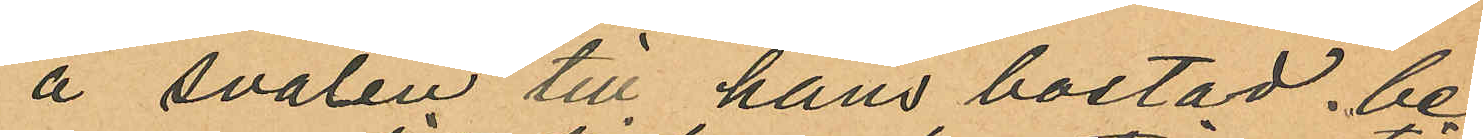å svalen till hans bostad be¬
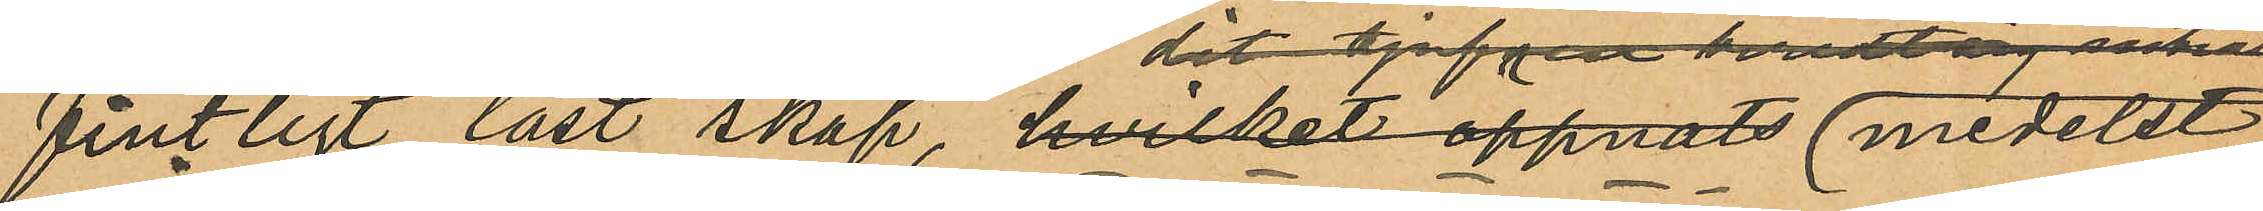fintligt låst skåp, hvilket öppnats medelst
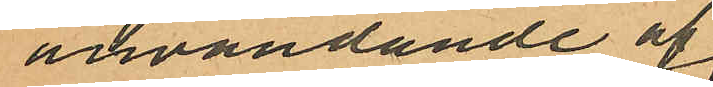användande af
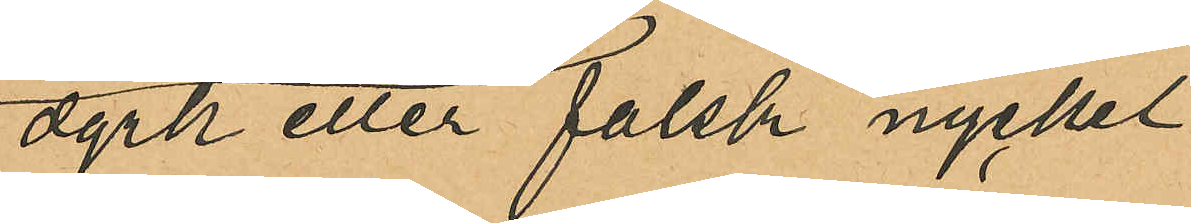dyrk eller falsk nyckel
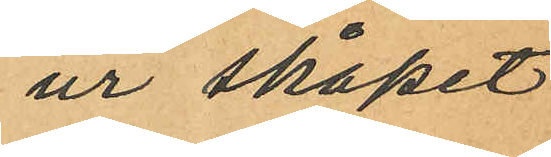ur skåpet
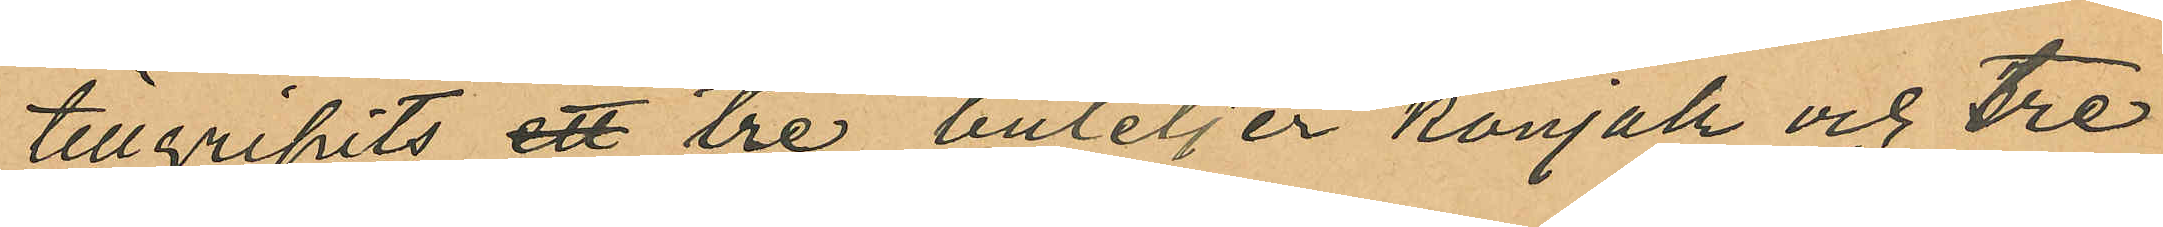tillgripits ett tre buteljer konjak och tre
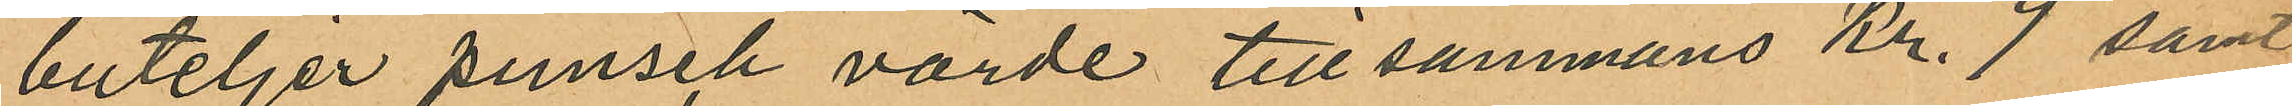buteljer punsch värde tillsammans Kr. 9 samt
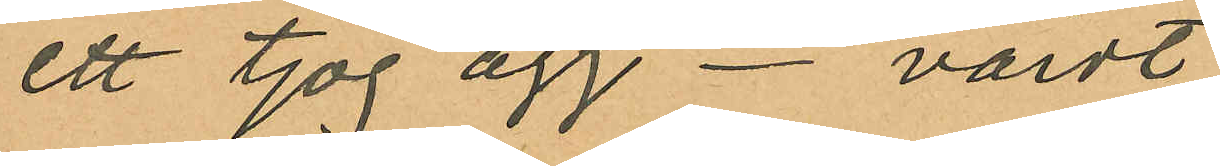ett tjog ägg - värdt
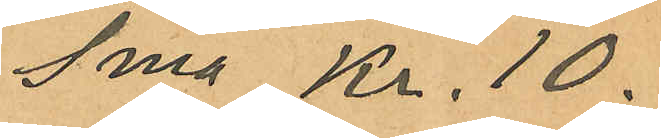Sma Kr. 10.
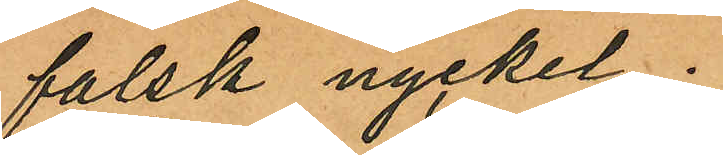falsk nyckel;
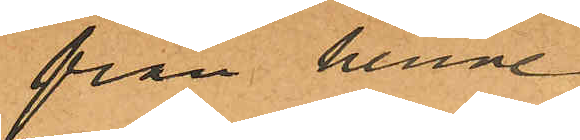från henne
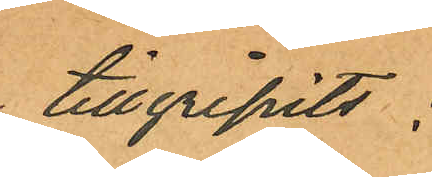tillgripits:
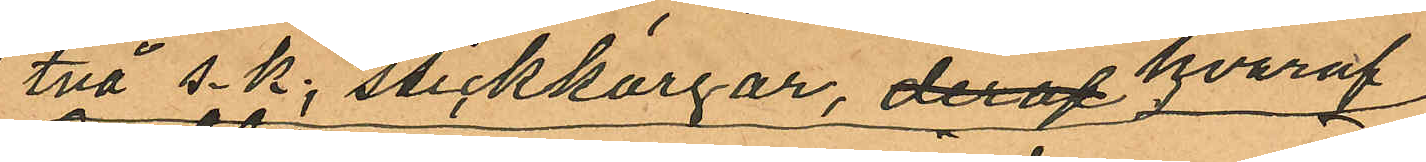två s.k. stickkorgar, deraf hvaraf
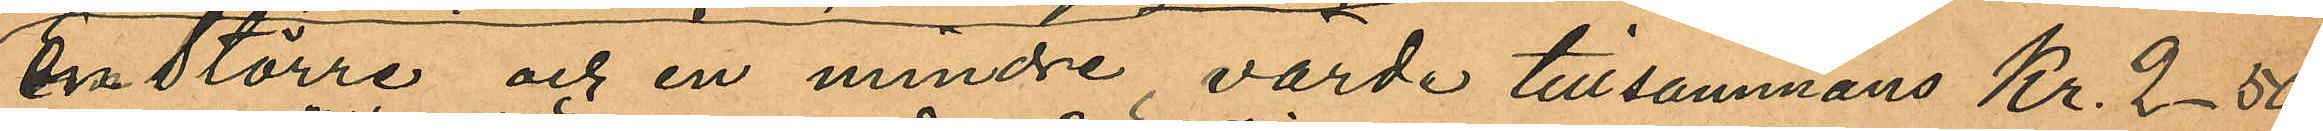en större och en mindre värde tillsammans Kr. 2.50
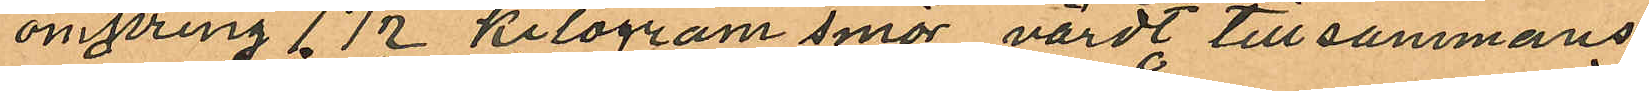omkring 7½ kilogram smör värdt tillsammans
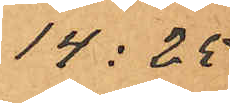14: 25
